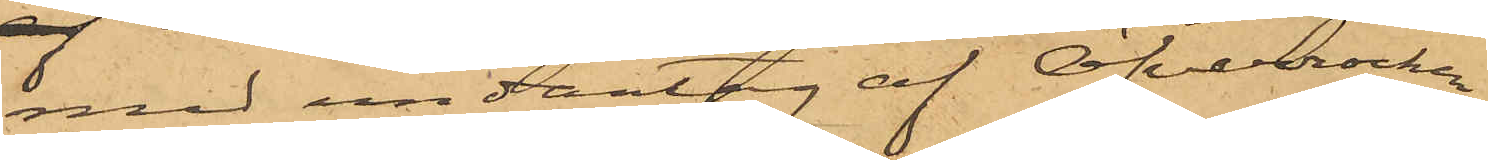med undantag af Öfverrockan
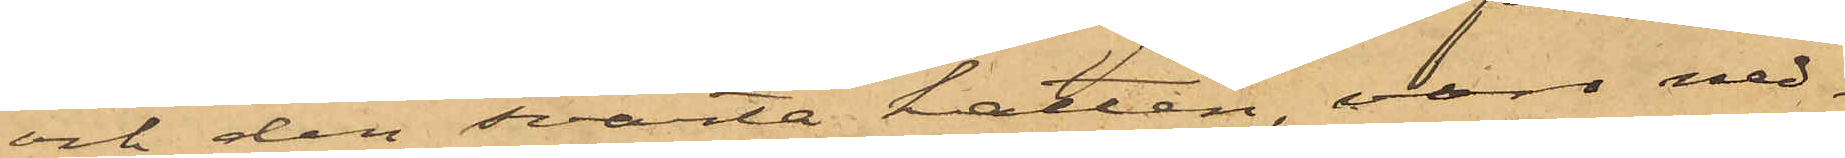och den svarta hatten, voro ned¬
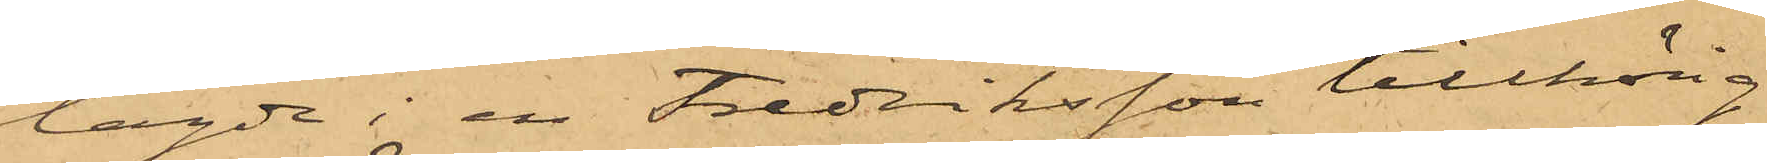lagde i en Fredriksson tillhörig
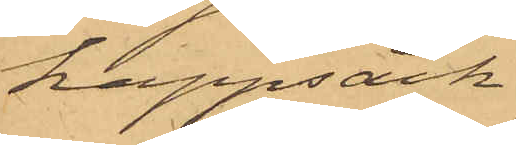kappsäck.
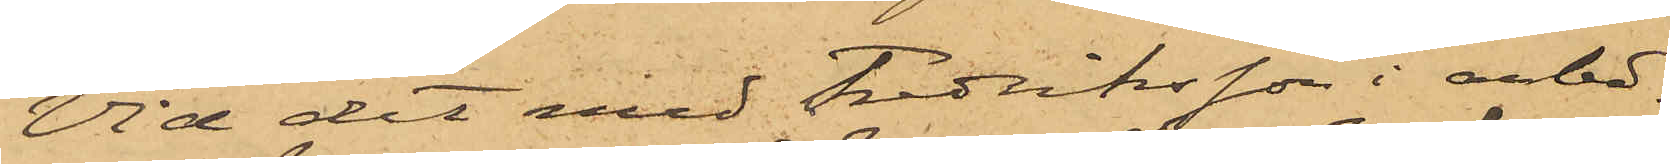Vid det med Fredriksson i anle¬
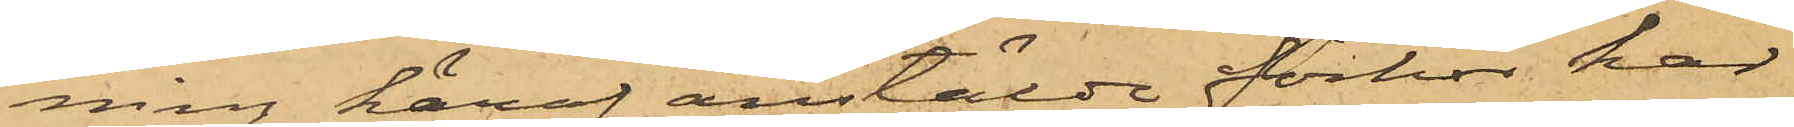ning häraf anstälde förhör har
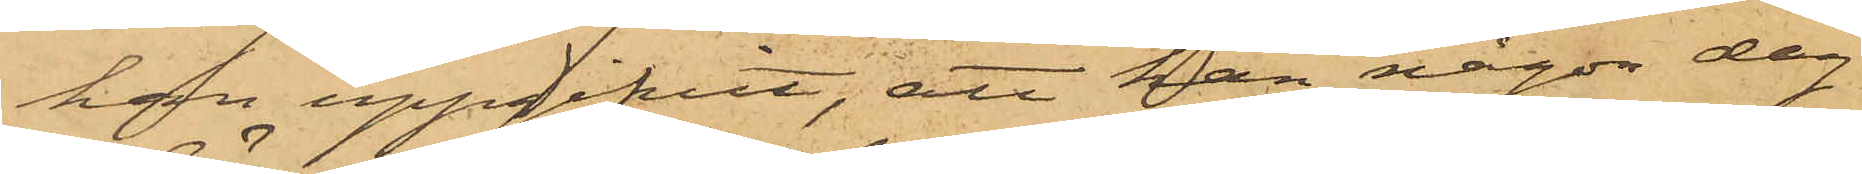han uppgifvit, att han någon dag
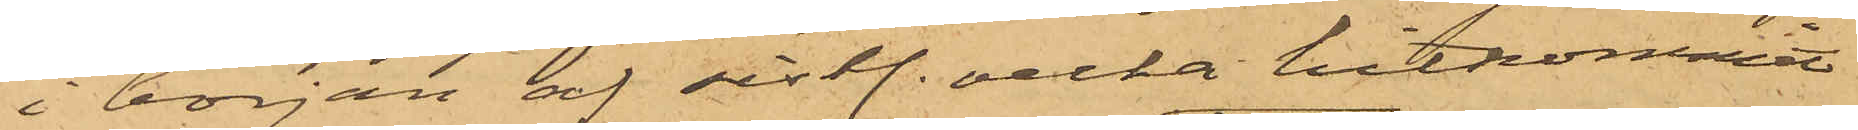i början af sistl. vecka hitkommit
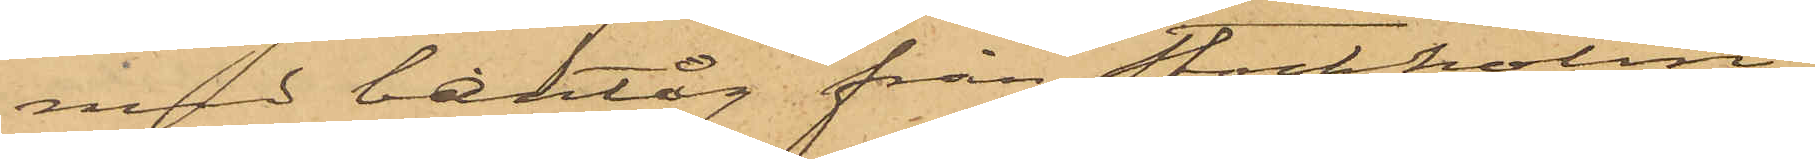med bantåg från Stockholm;
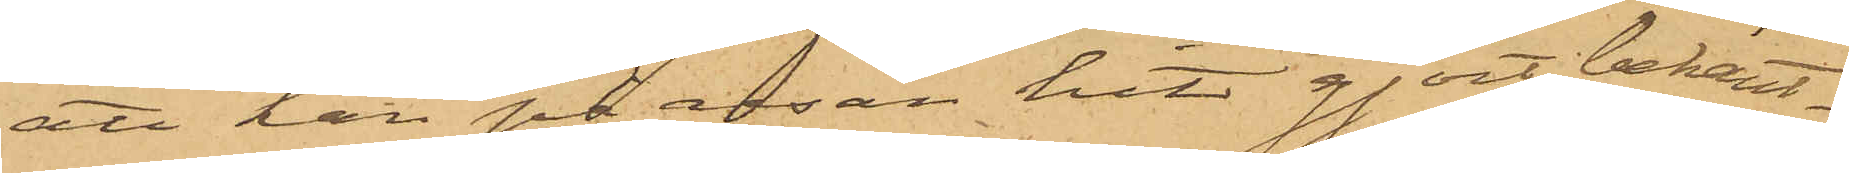att han på resan hit gjort bekant¬
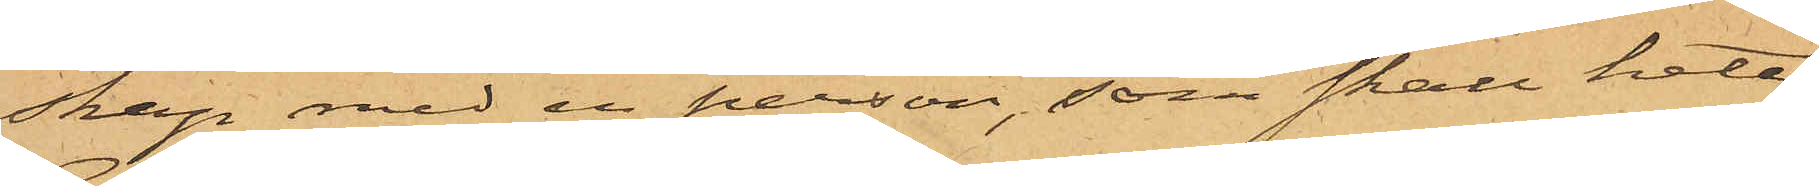skap med en person, som skall heta
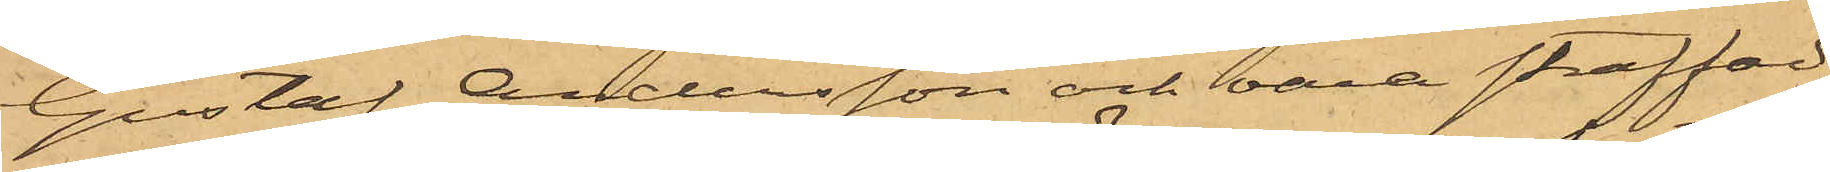Gustaf Andersson och vara straffad
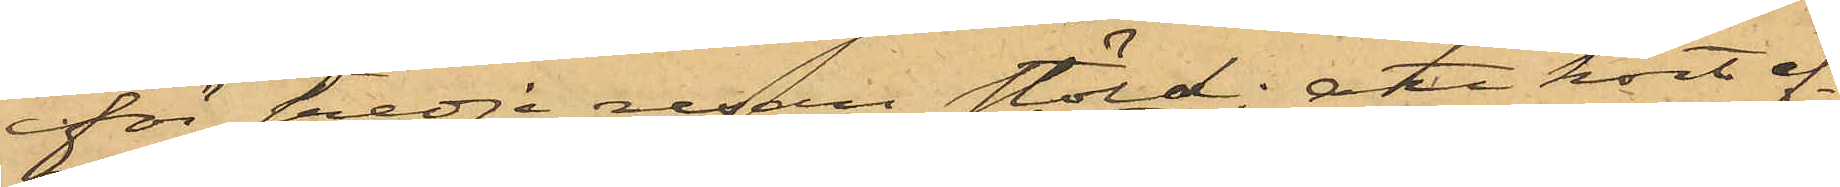för tredje resan stöld; att kort ef¬
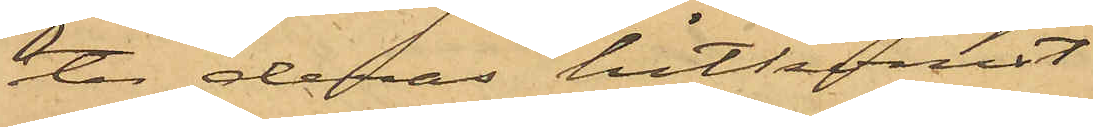ter deras hitkomst
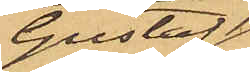Gustaf
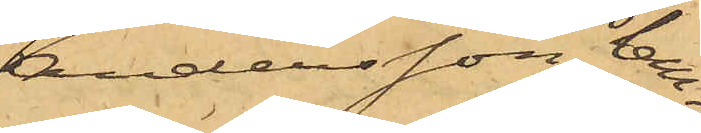Andersson lem¬
